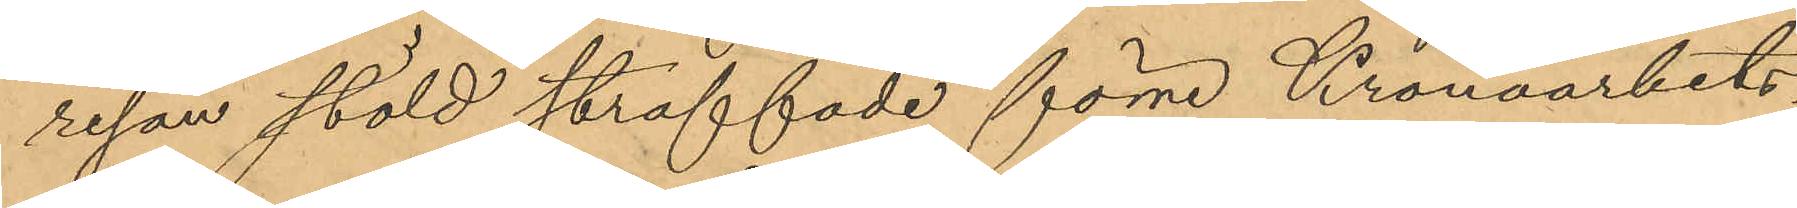resan stöld straffade förre Kronoarbets¬
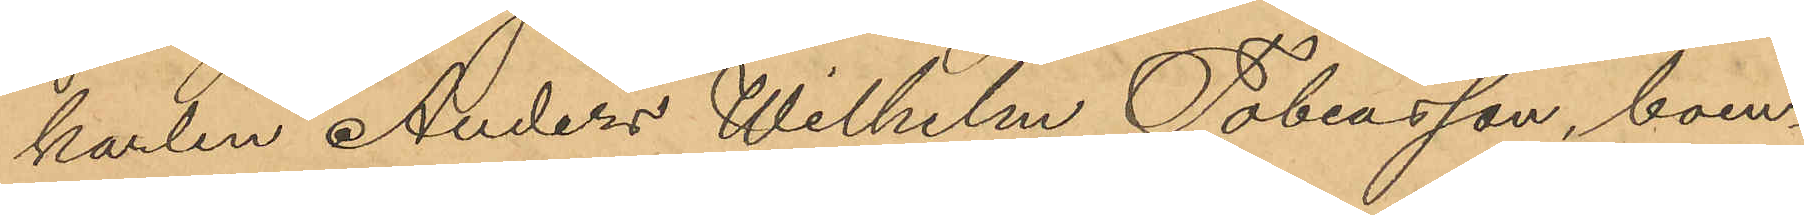karlen Anders Wilhelm Tobiasson, boen¬
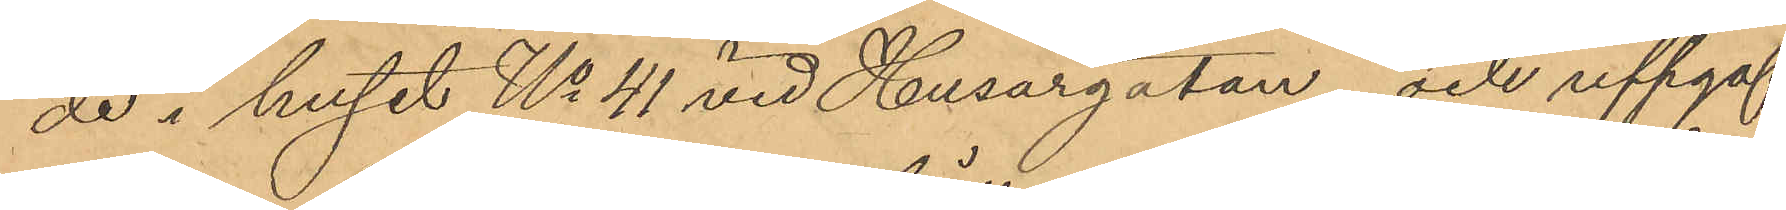de i huset No 41 vid Husargatan och uppgaf
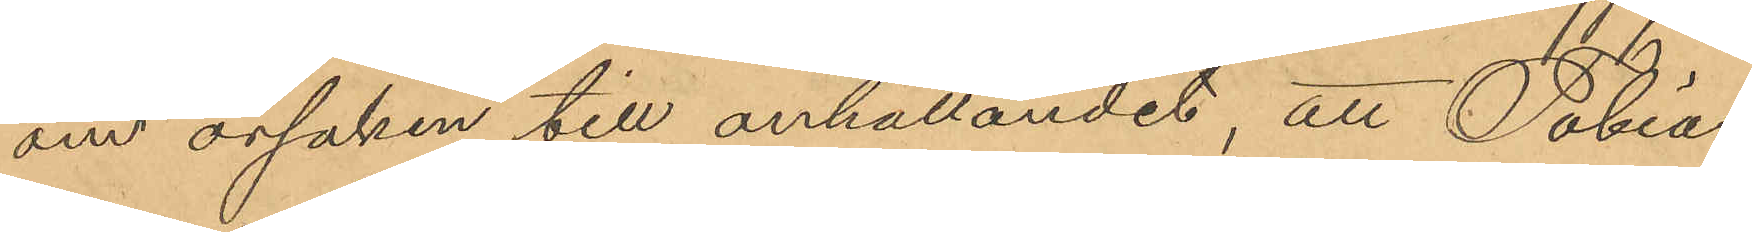om orsaken till anhållandet, att Tobias¬
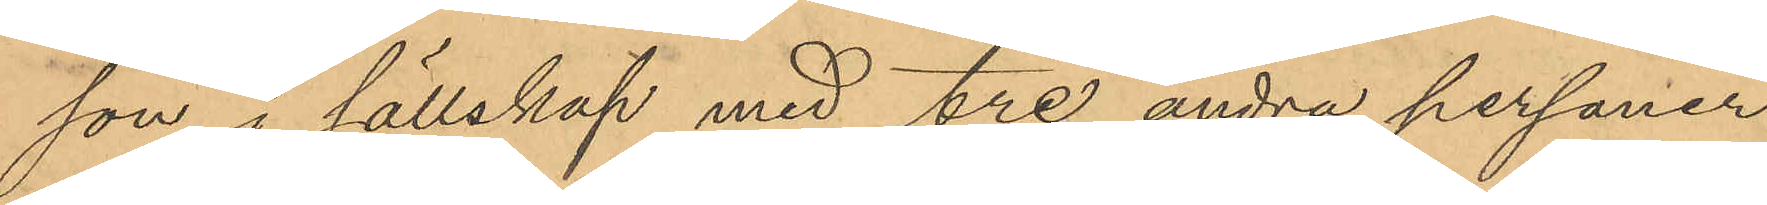son i sällskap med tre andra personer
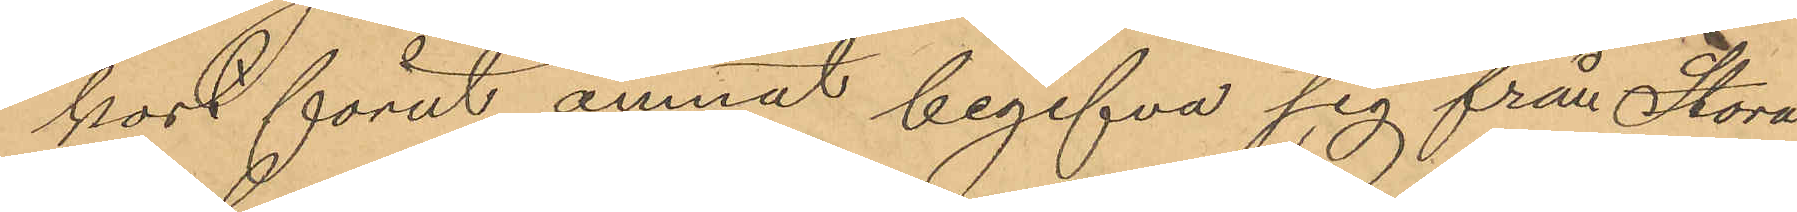kort förut ämnat begifva sig från Stora
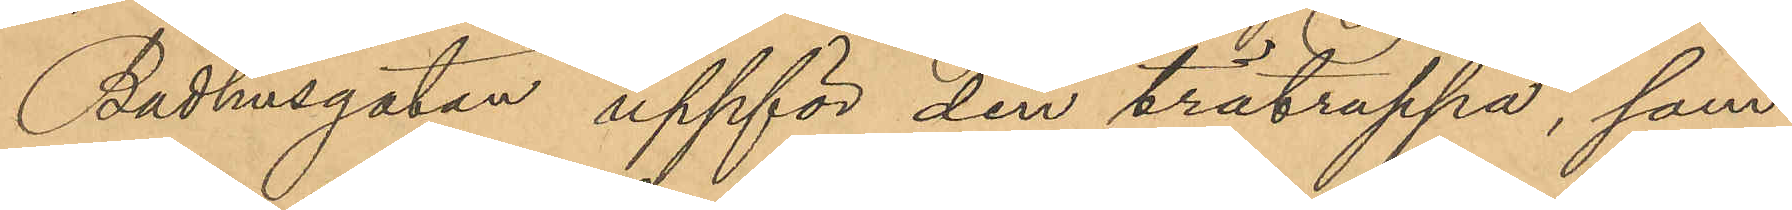Badhusgatan uppför den trätrappa, som
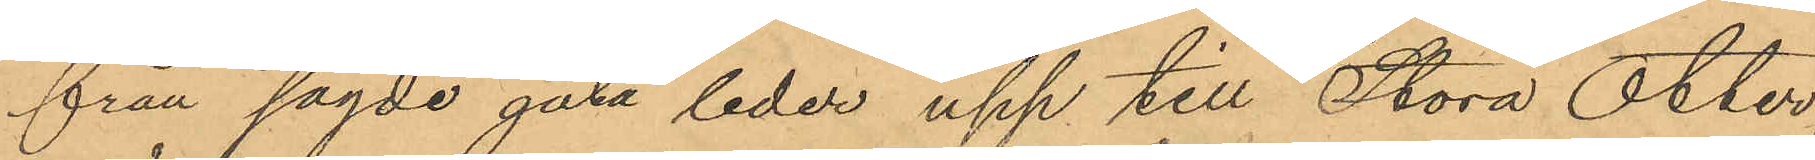från sagde gata leder upp till Stora Otter¬
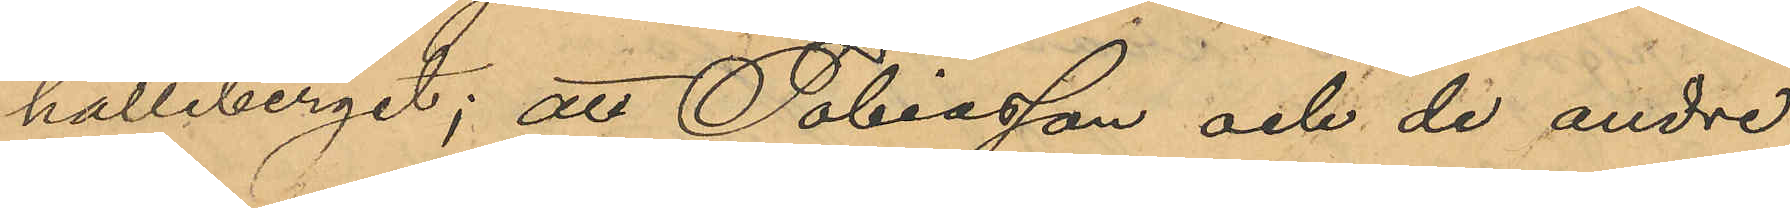hälleberget; att Tobiasson och de andre
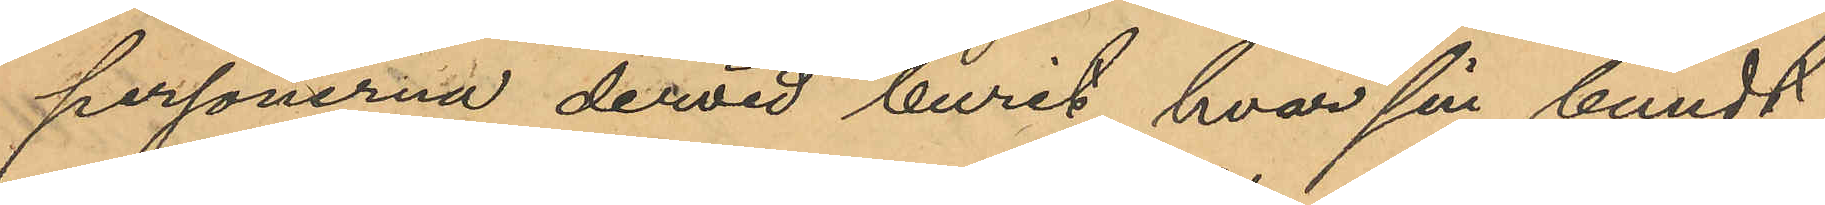personerna dervid burit hvar sin bundt
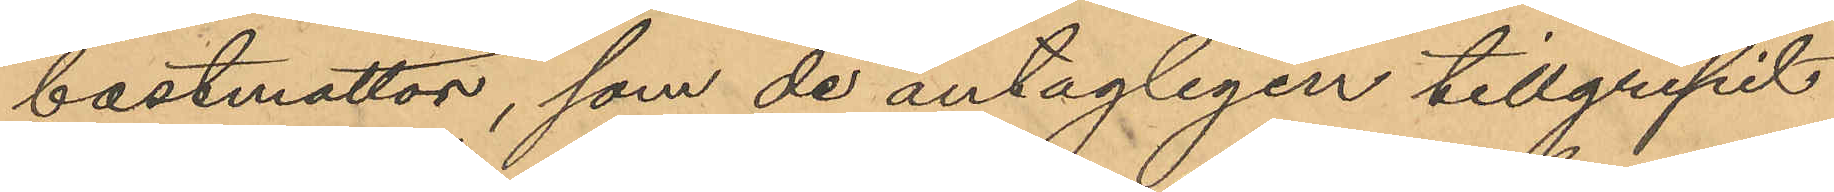bastmattor, som de antagligen tillgripit
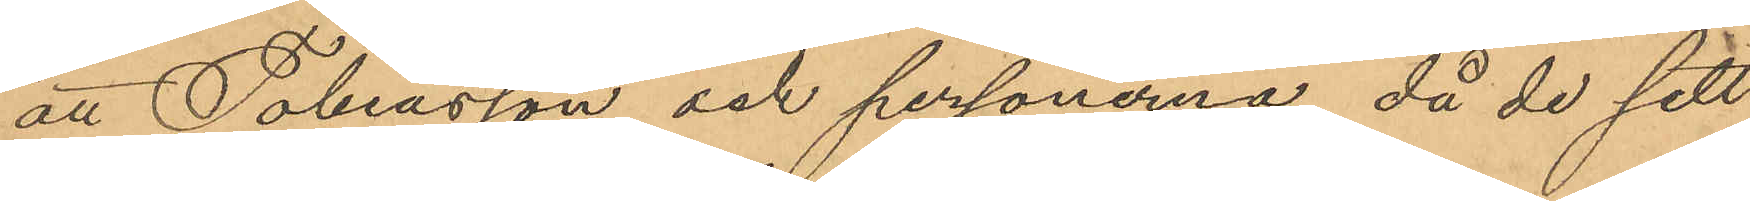att Tobiasson och personerna, då de sett
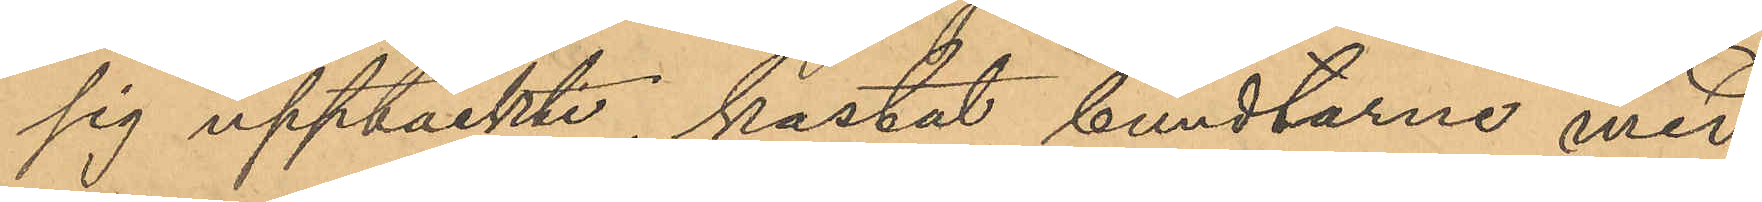sig upptäckte, kastat bundtarne med
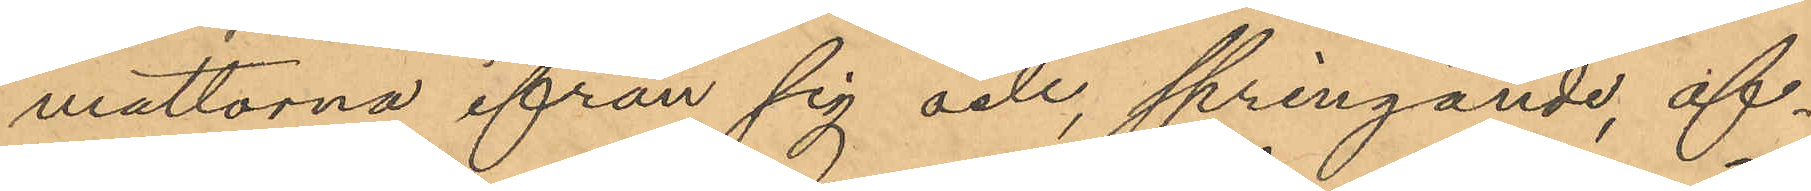mattorna ifrån sig och springande, af¬
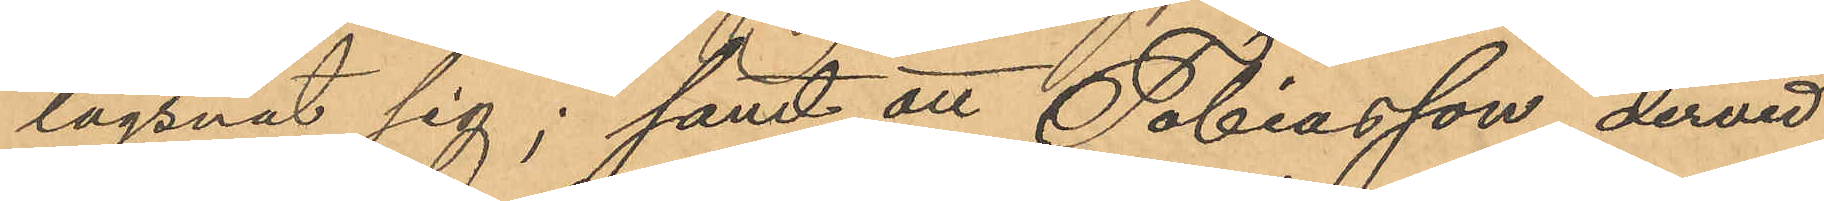lägsnat sig; samt att Tobiasson dervid
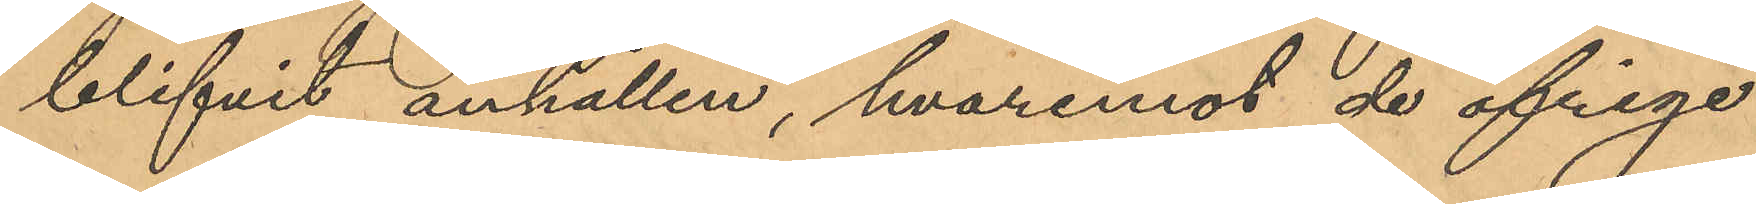blifvit anhållen, hvaremot de öfriga
